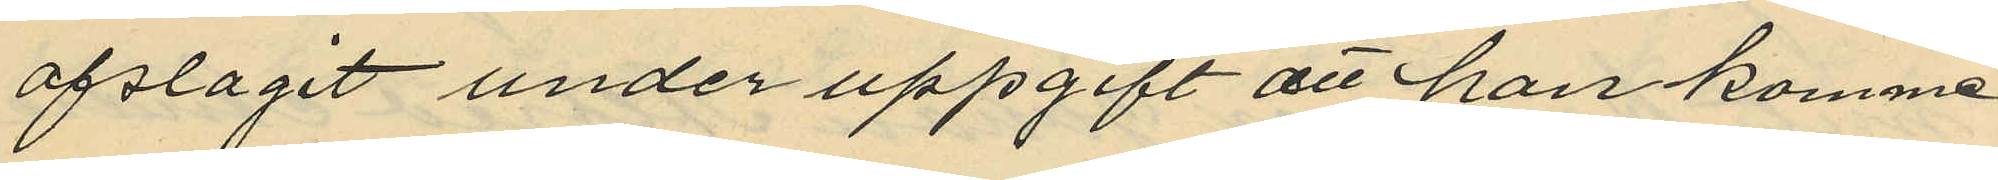afslagit under uppgift att han komme
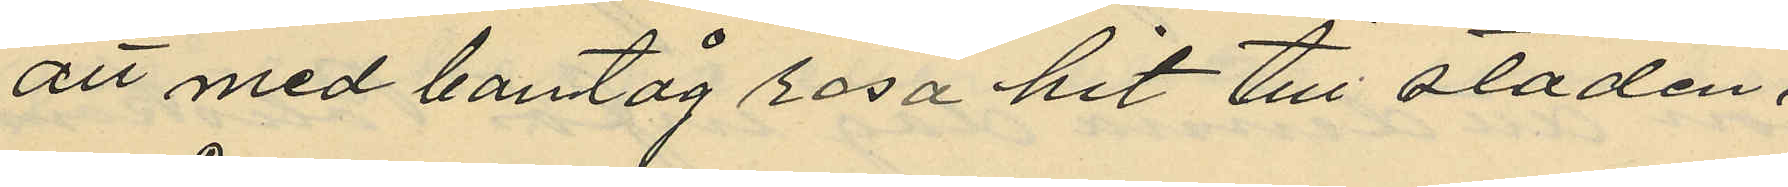att med bantåg resa hit till staden.
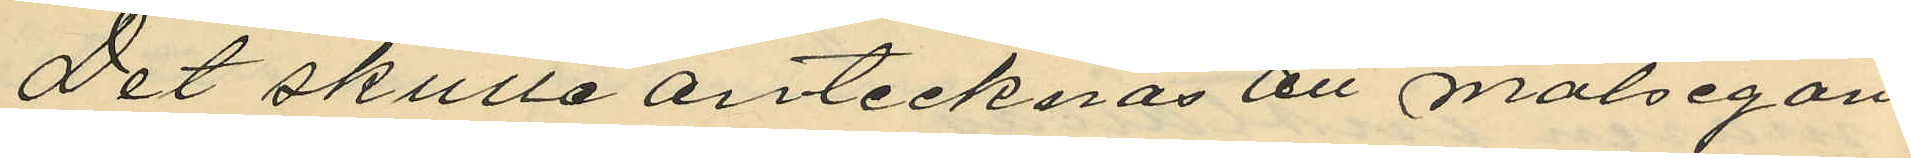Det skulle antecknas att målsegan¬
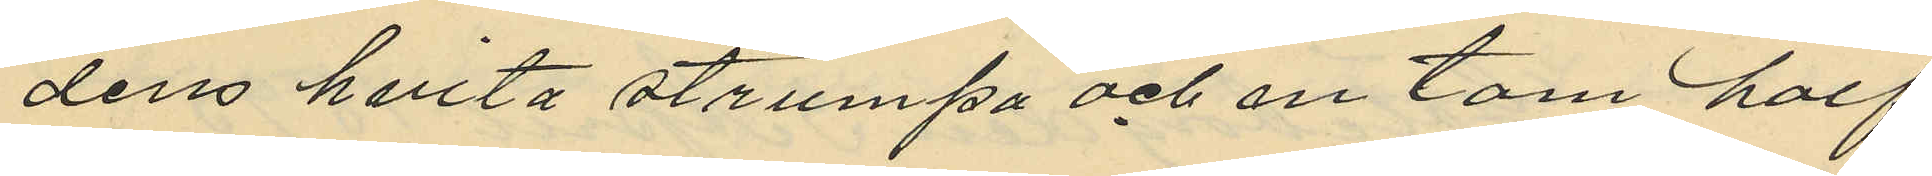dens hwita strumpa och en tom half
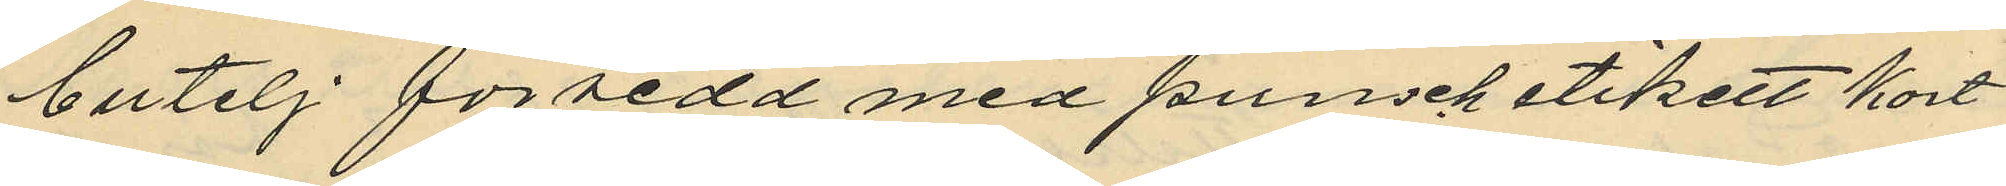butelj försedd med punschetikett kort
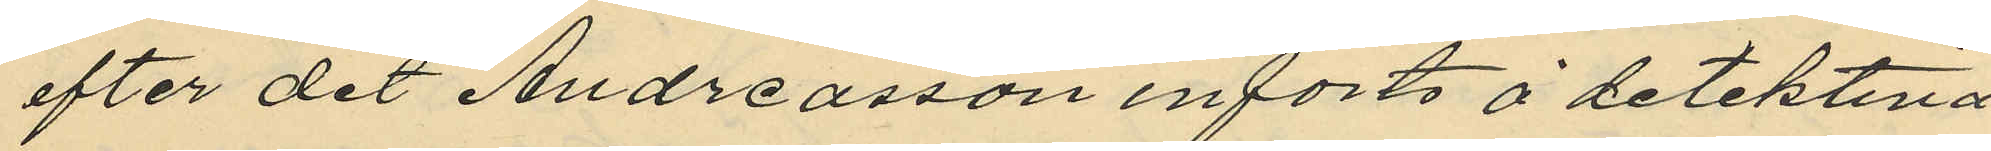efter det Andreasson införts å detektiva¬
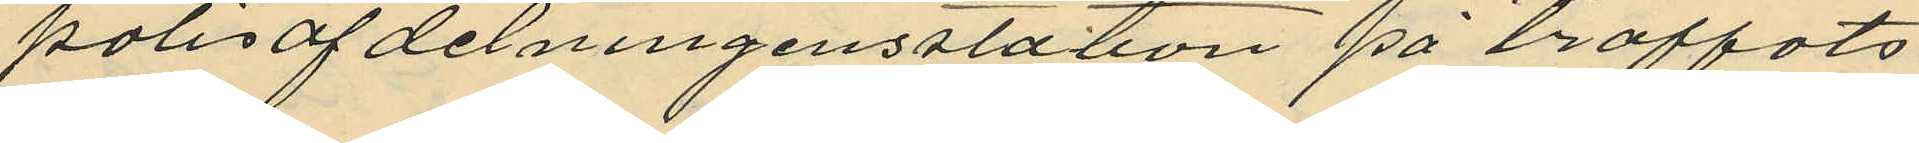polisafdelningensstation påträffats
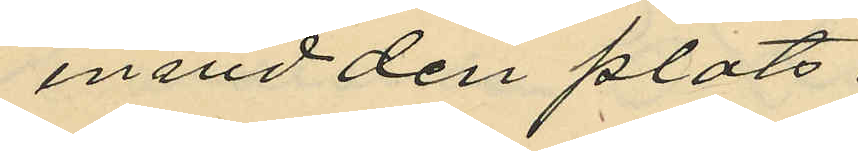invid den plats
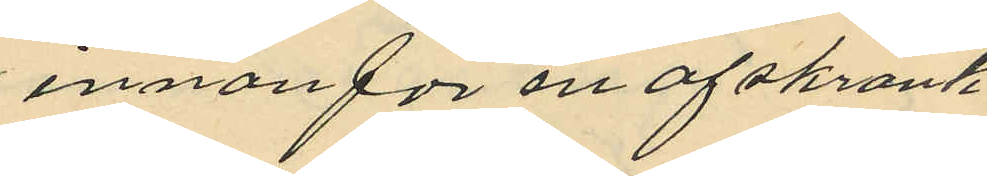innanför en afskrank¬
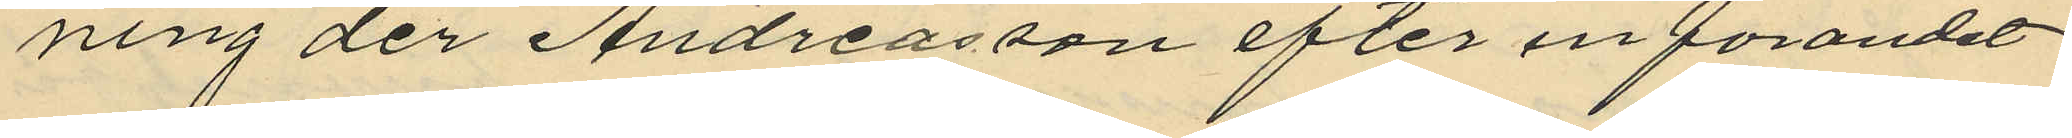ning der Andreasson efter införandet
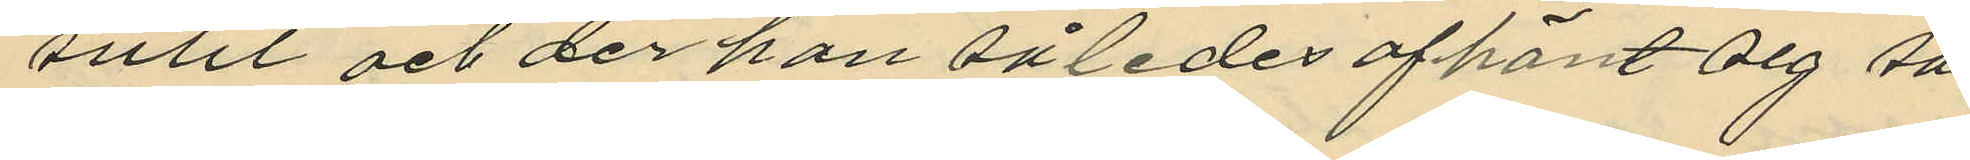suttit och der han således afhänt sig sa¬
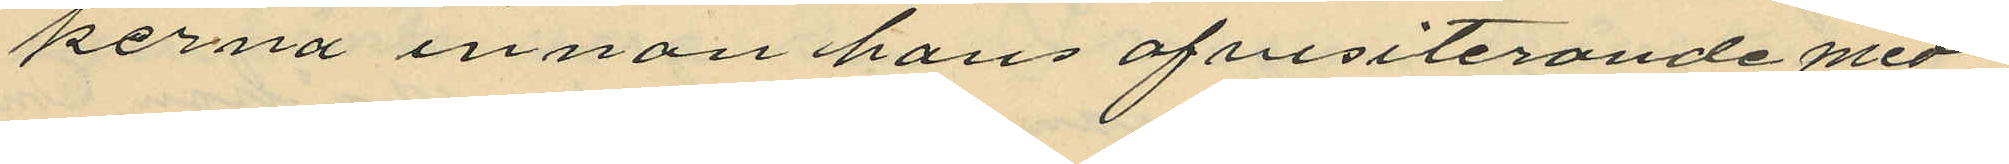kerna innan hans afvisiterande med¬
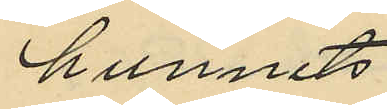hunnits
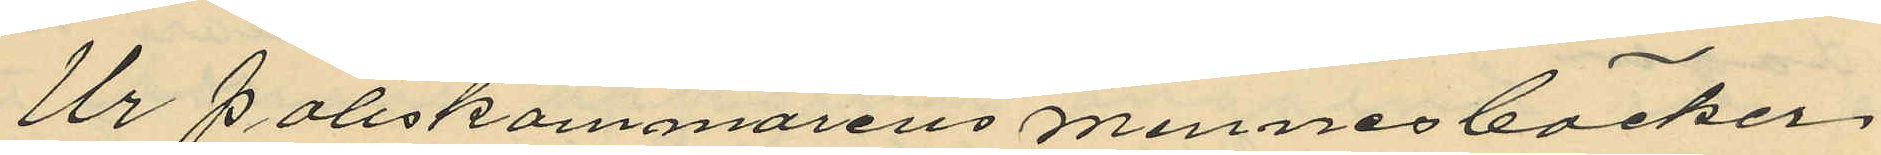Ur Poliskammarens minnesböcker
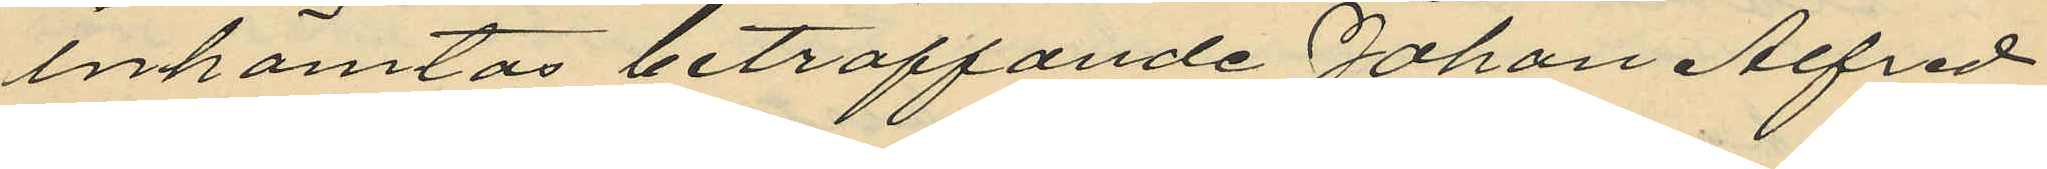inhemtas beträffande Johan Alfred
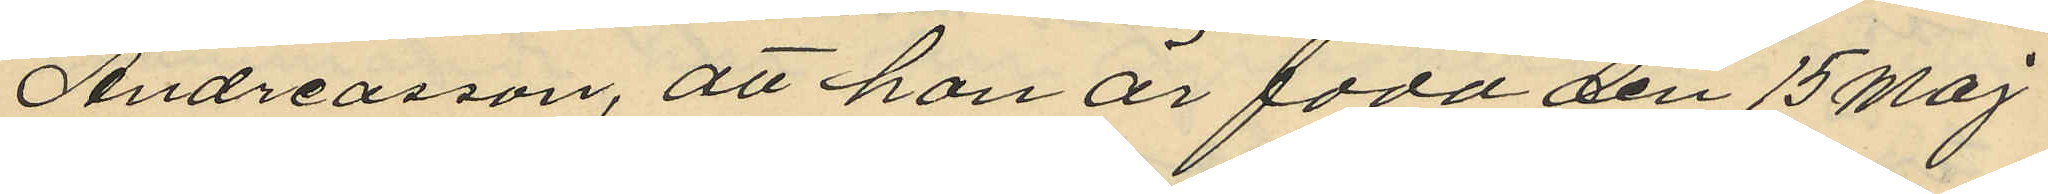Andreasson, att han är född den 15 Maj
